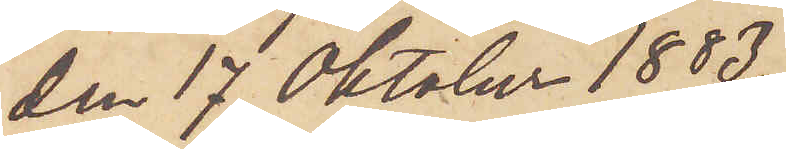den 17 Oktober 1883.
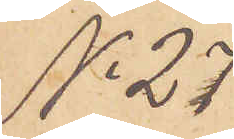No 27
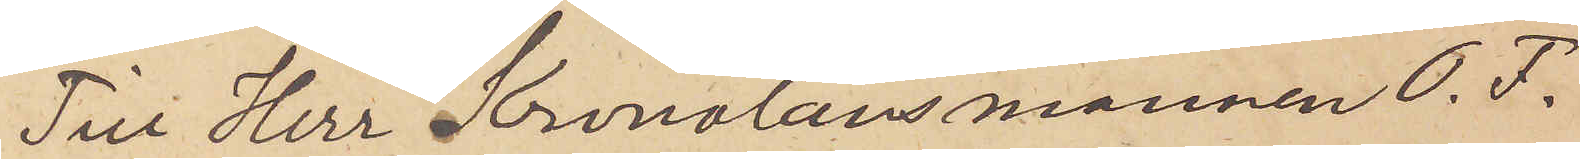Till Herr Kronolänsmannen O. F.
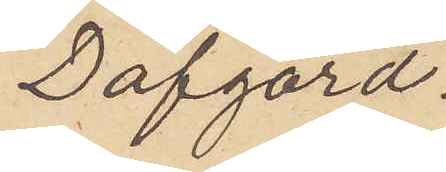Dafgård.
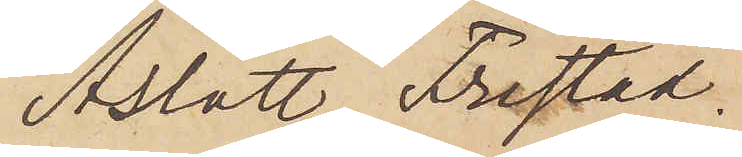Aslätt. Fristad.
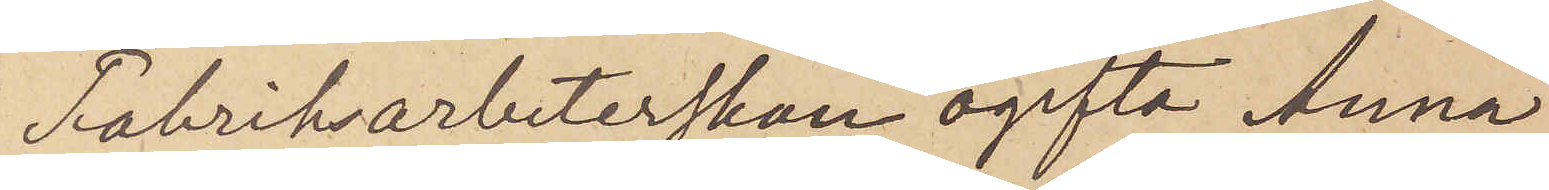Fabriksarbeterskan ogifta Anna
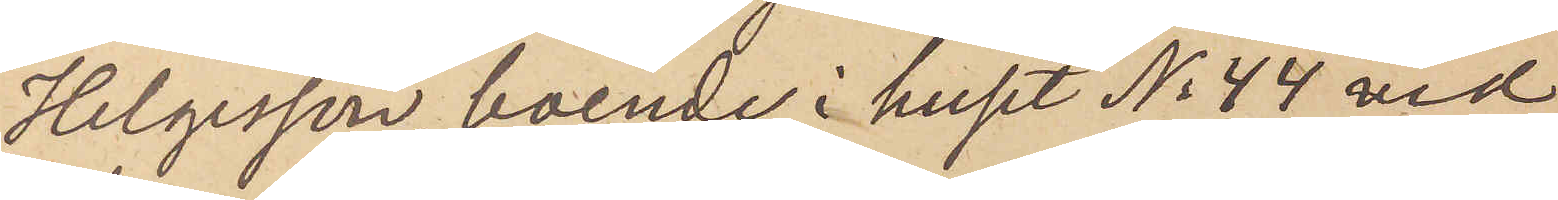Helgesson, boende i huset No 44 vid
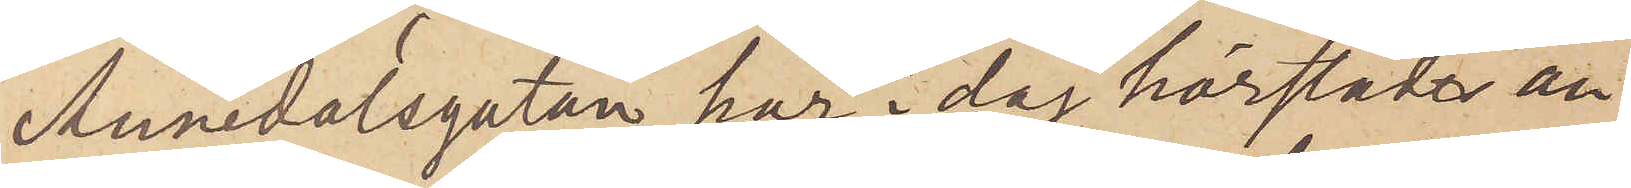Annedalsgatan, har i dag härstädes an¬
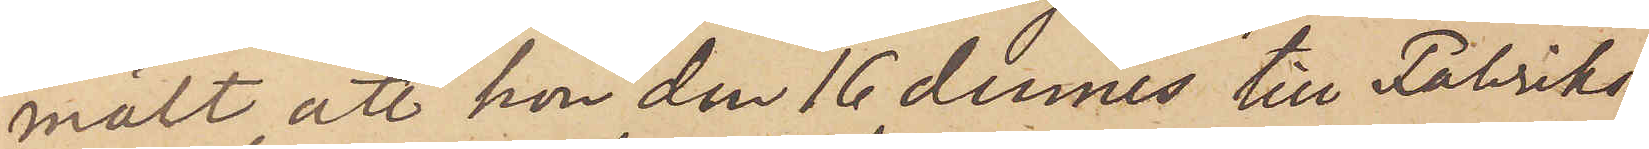mält att hon den 16 dennes till Fabriks¬
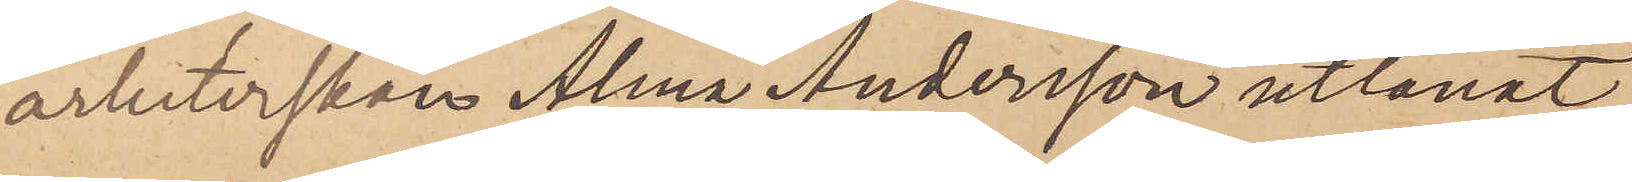arbeterskan Alma Andersson utlånat
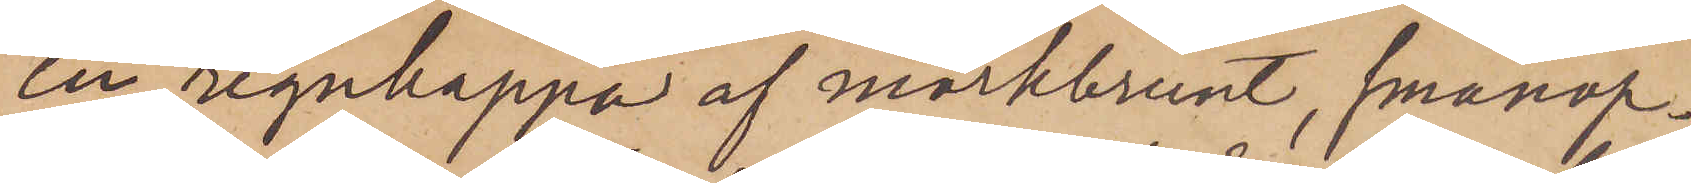en regnkappa af mörkbrunt, smånop¬
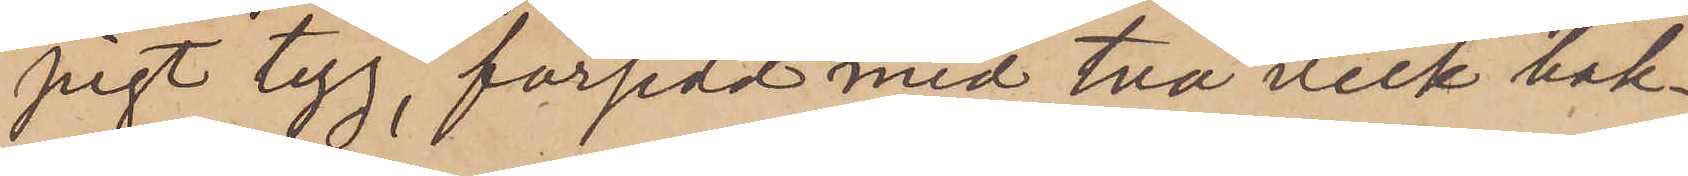pigt tyg, försedd med två veck bak¬
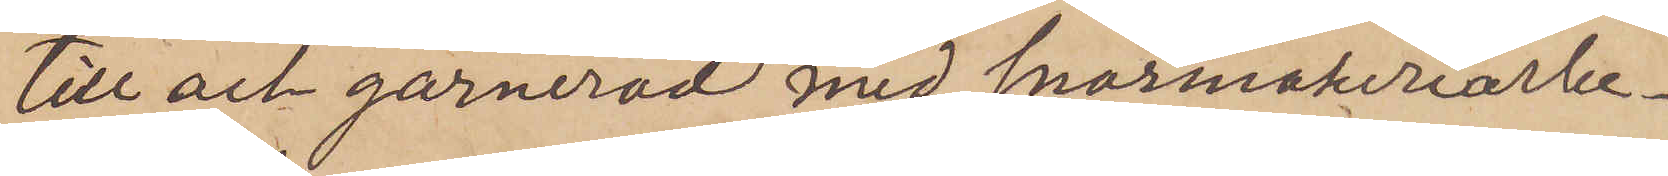till och garnerad med snörmakeriarbe¬
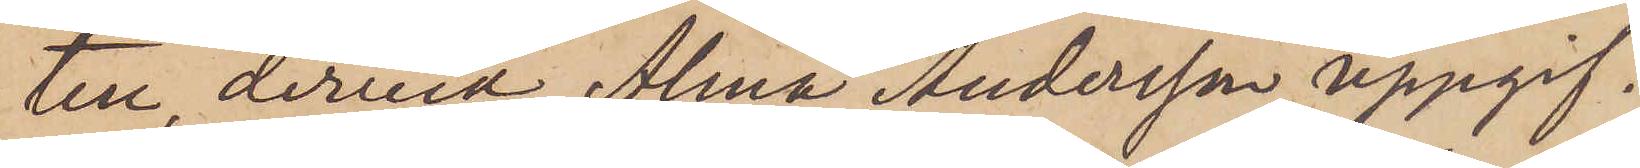ten, dervid Alma Andersson uppgif¬
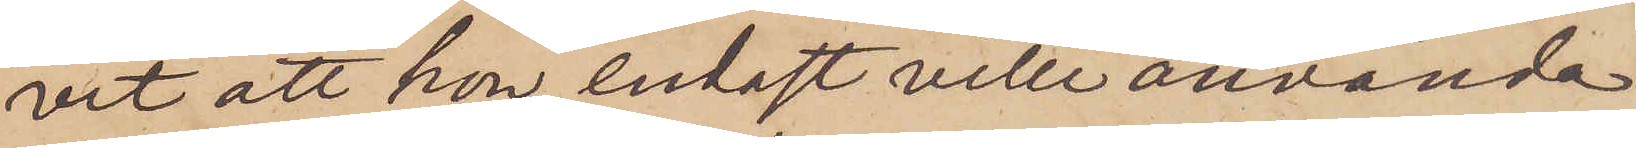vit att hon endast ville använda
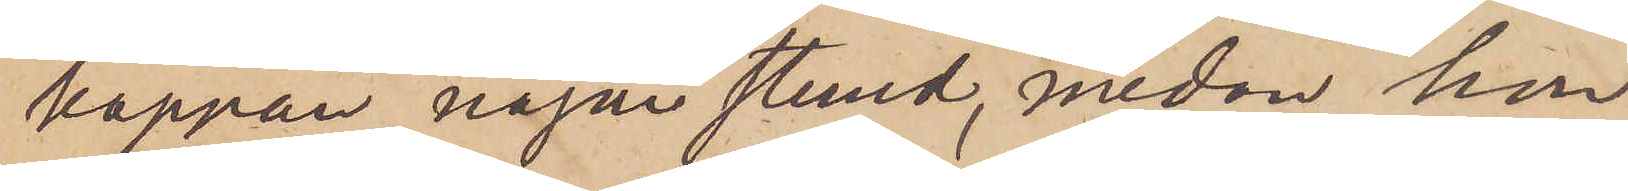kappan någon stund, medan hon
